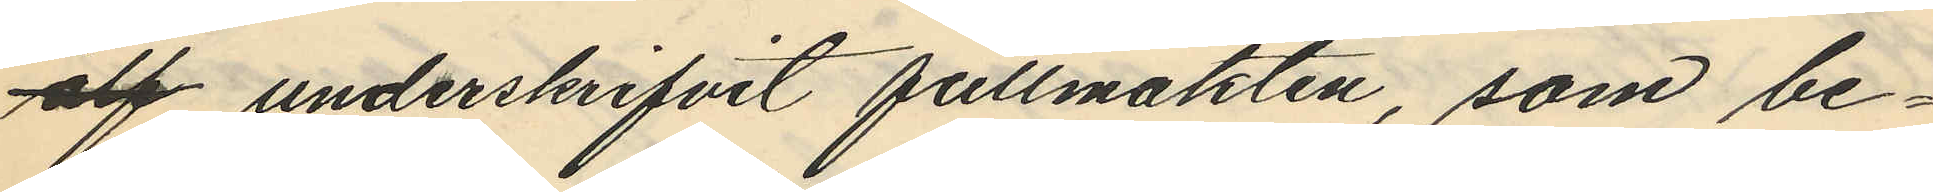alf underskrifvit fullmakten, som be¬
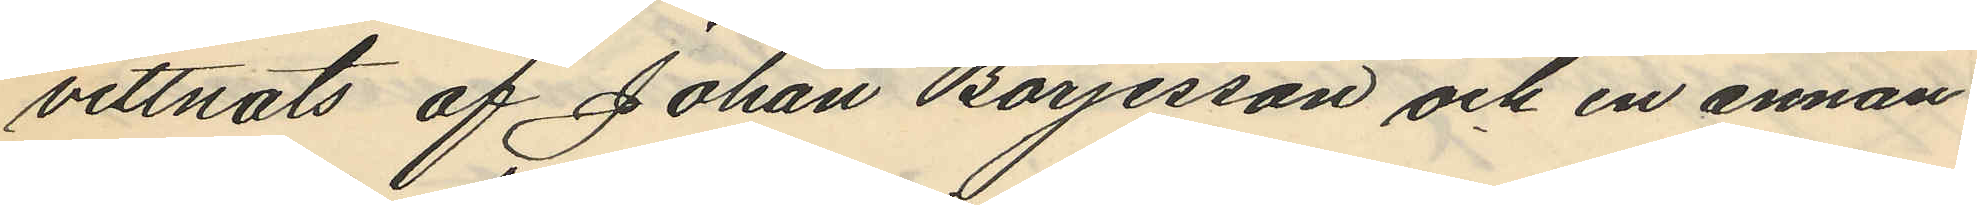vittnats af Johan Börjesson och en innan
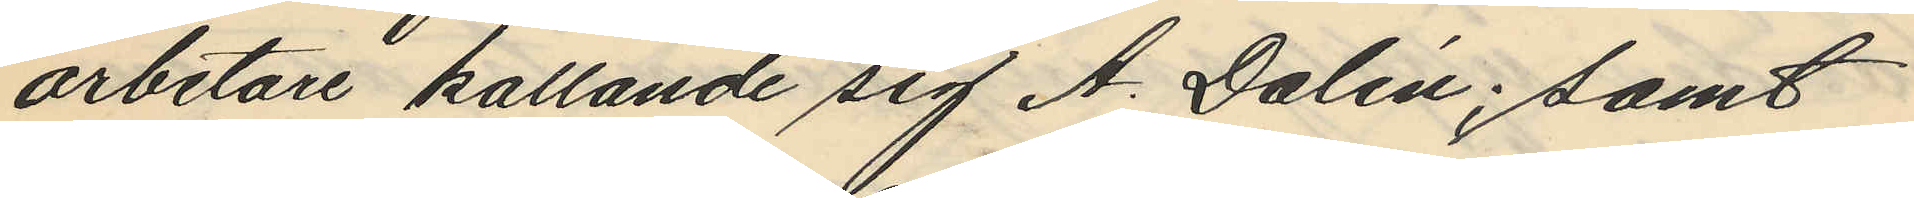arbetare kallande sig A. Dalén; samt
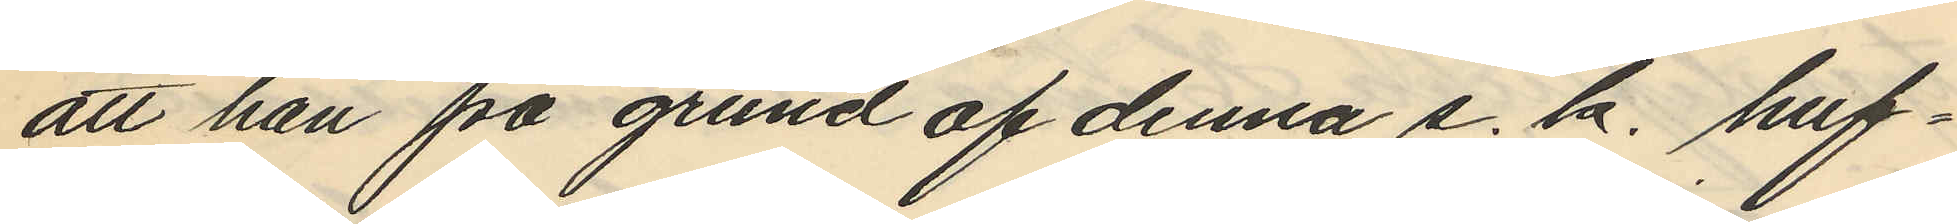att han på grund af denna s. k. huf¬
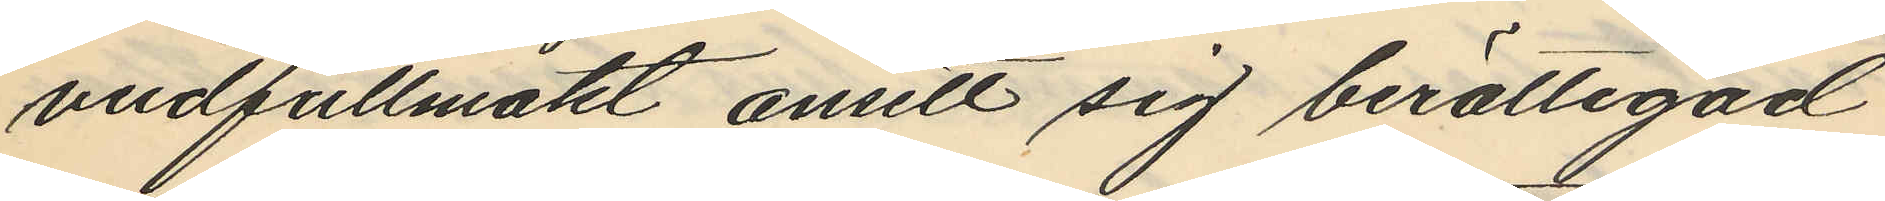vudfullmakt ansett sig berättigad
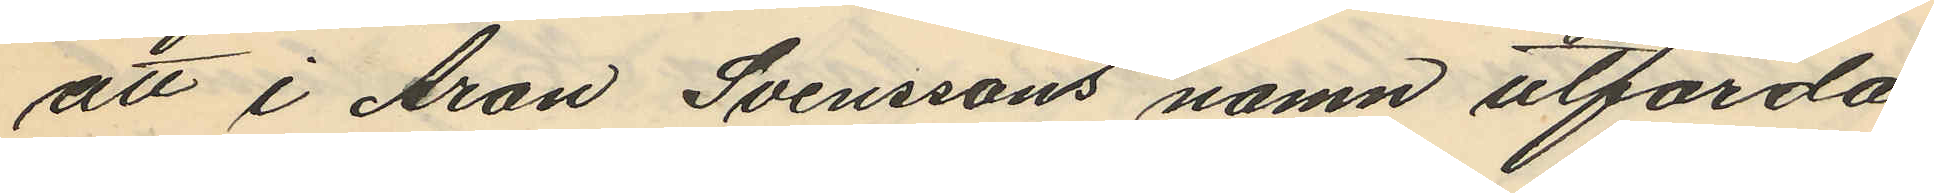att i Aron Svenssons namn utförda
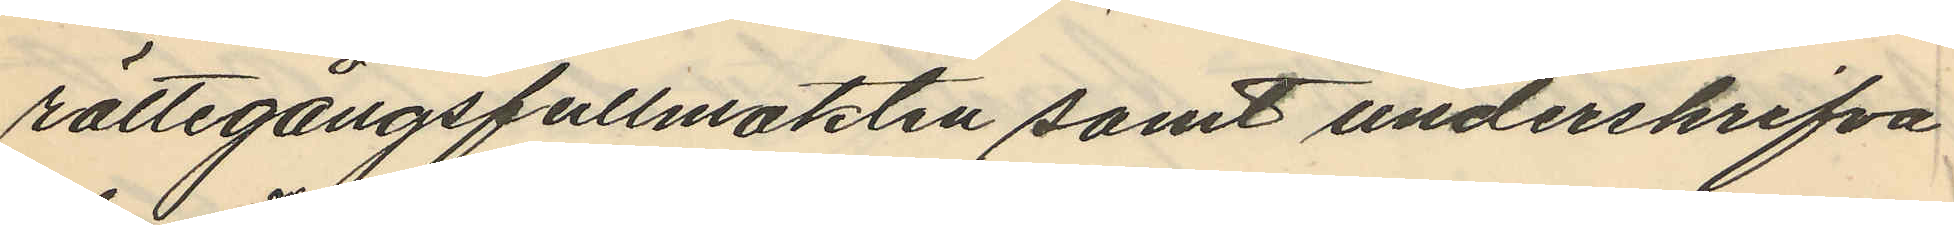rättegångsfullmakten samt underskrifva
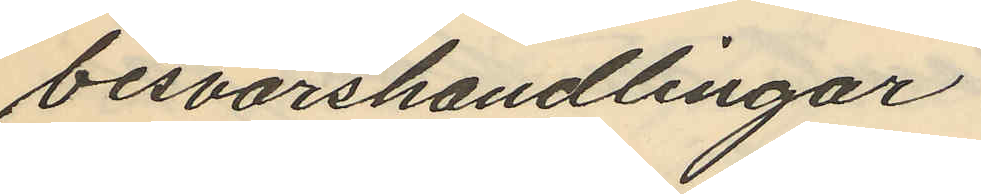besvärshandlingar.
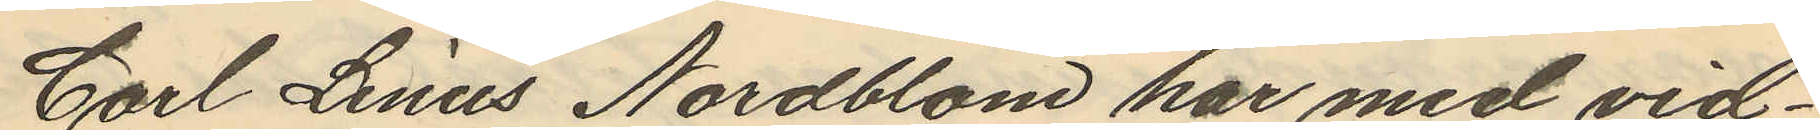Carl Linus Nordblom har med vid¬
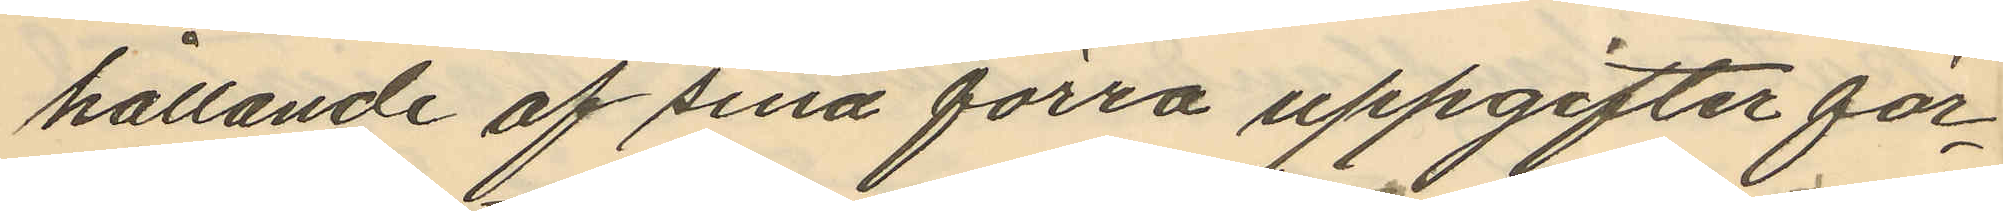hållande af sina förra uppgifter för¬
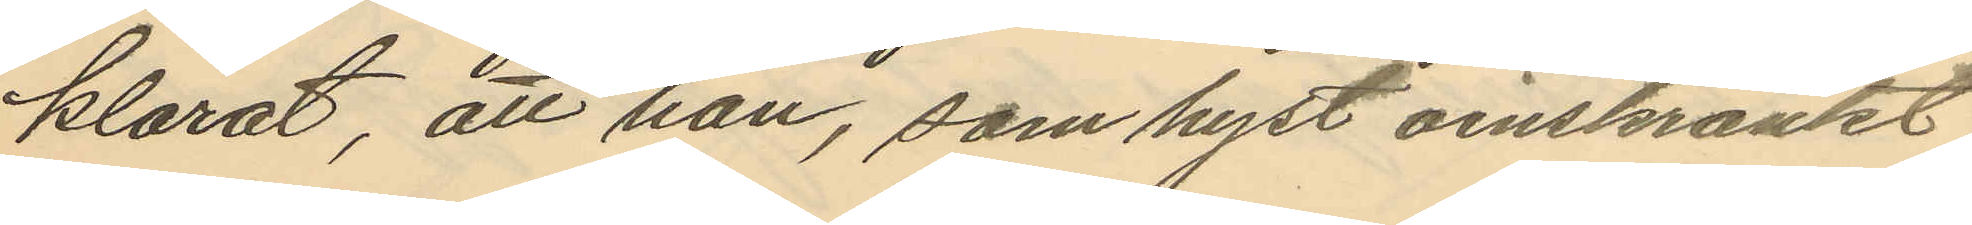klarat, att han, som hyst oinskränkt
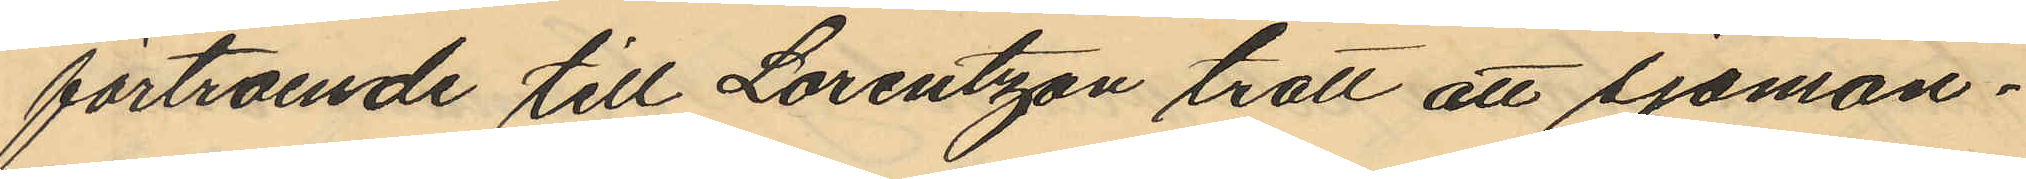förtroende till Lorentzon trott att sjöman¬
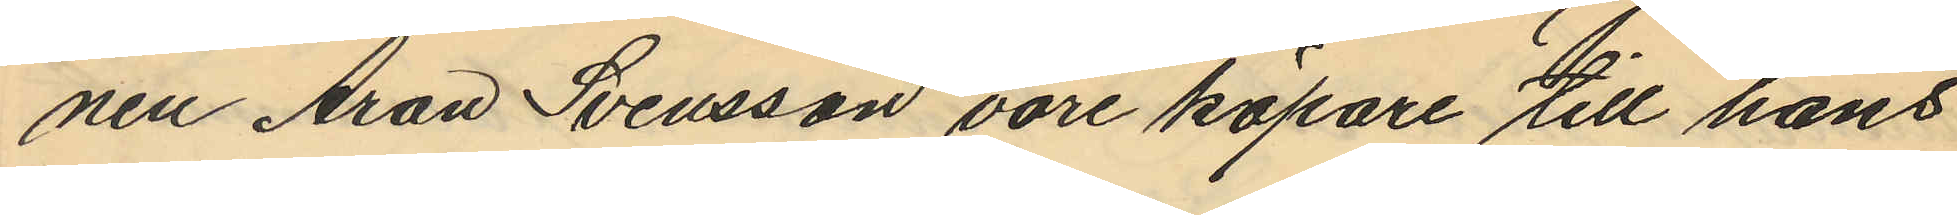nen Aron Svensson vore köpare till hans
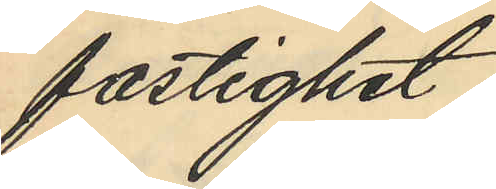fastighet;
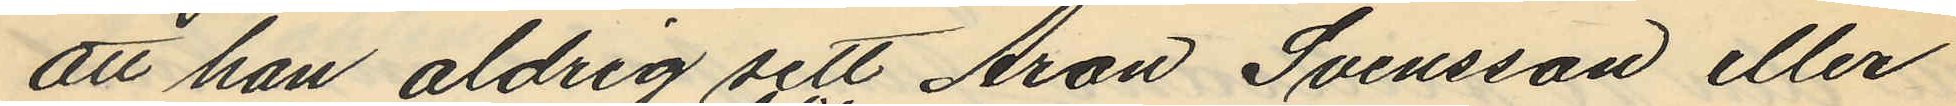att han aldrig sett Aron Svensson eller
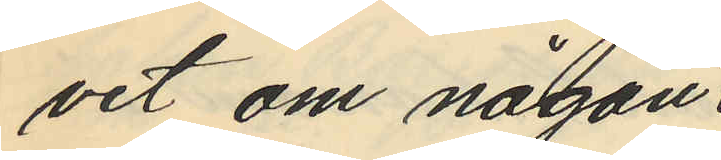vet om någon
